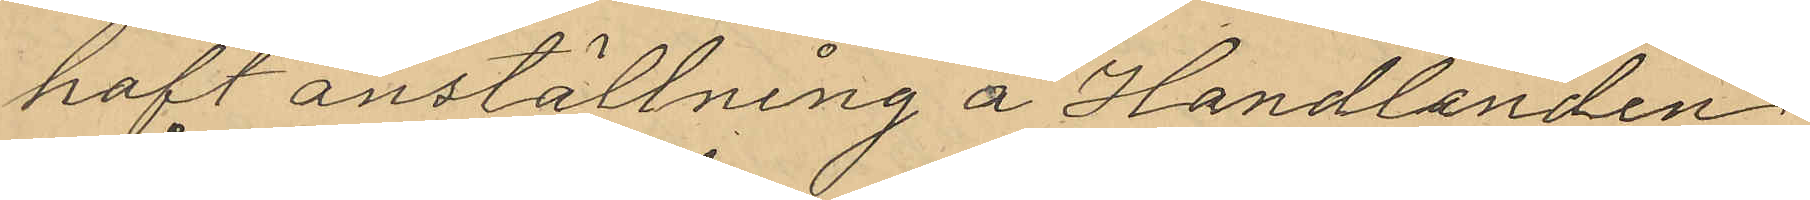haft anställning å Handlanden
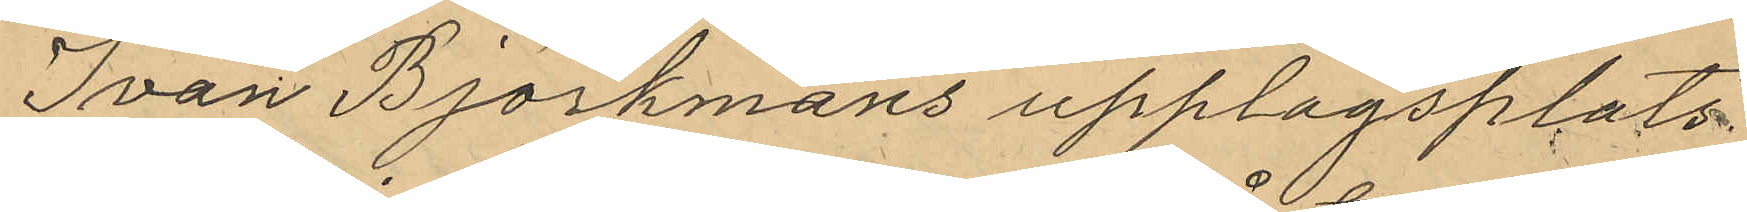Ivan Björkmans upplagsplats
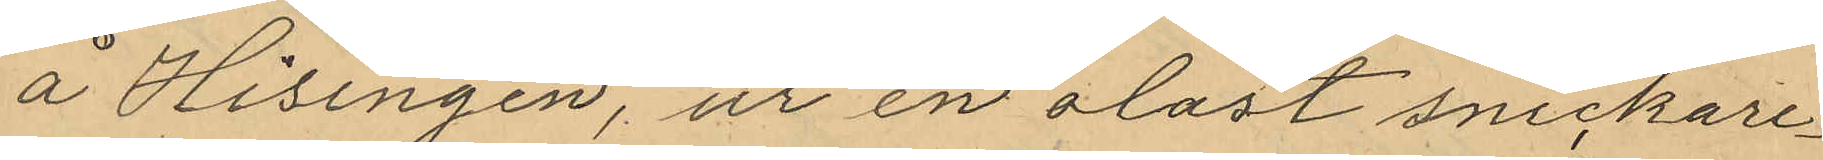å Hisingen, ur en olåst snickare¬
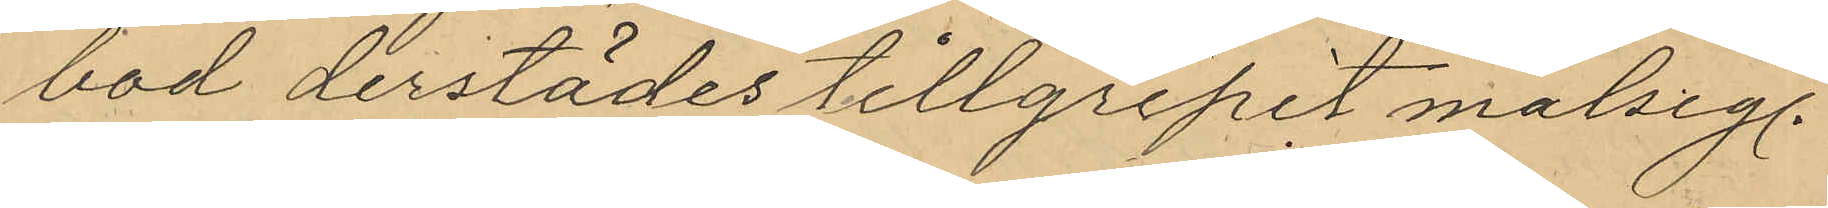bod derstädes tillgripit målseg.
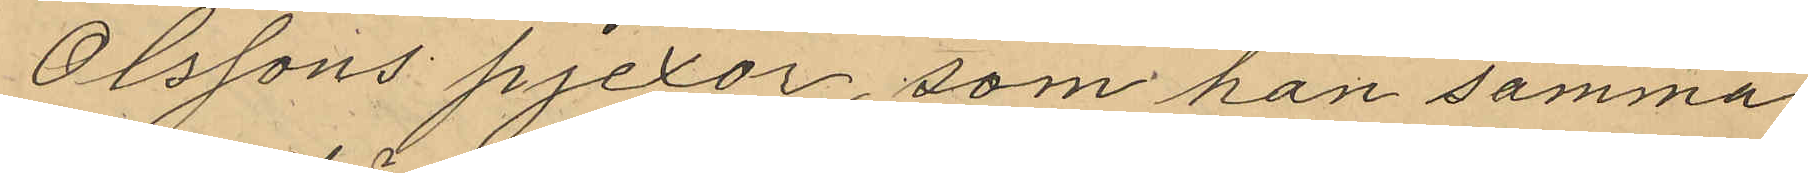Olssons pjexor som han samma
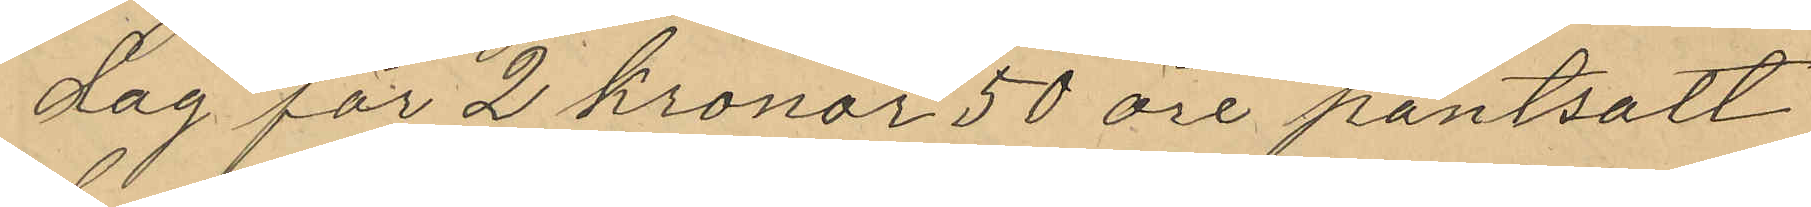dag för 2 kronor 50 öre pantsatt
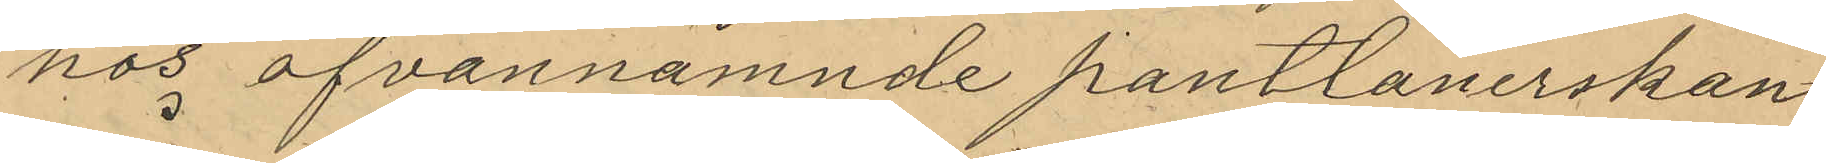hos ofvannämnde pantlånerskan
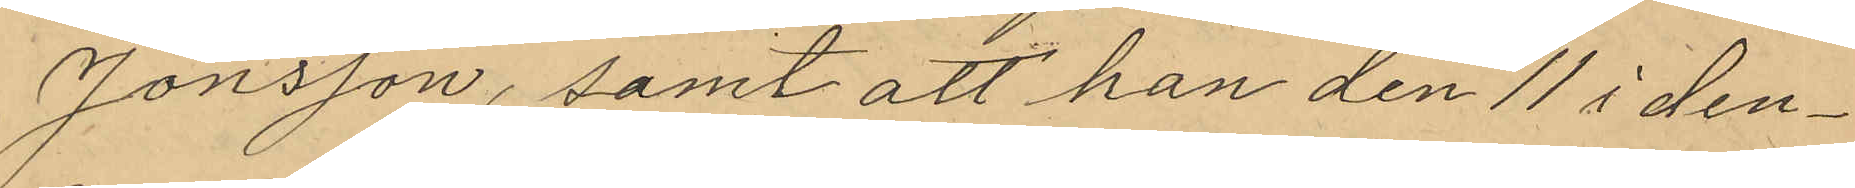Jonsson, samt att han den 11 i den¬
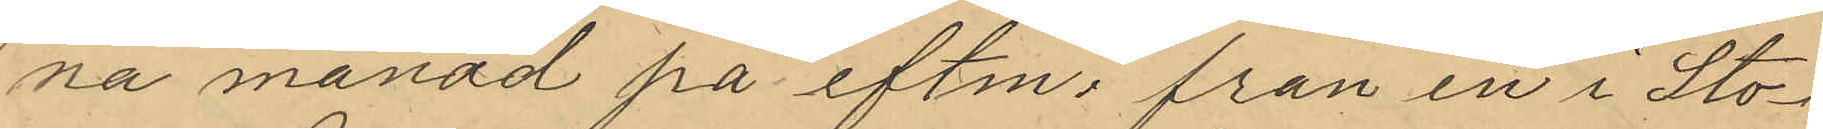na månad på eftm; från en i Sto¬
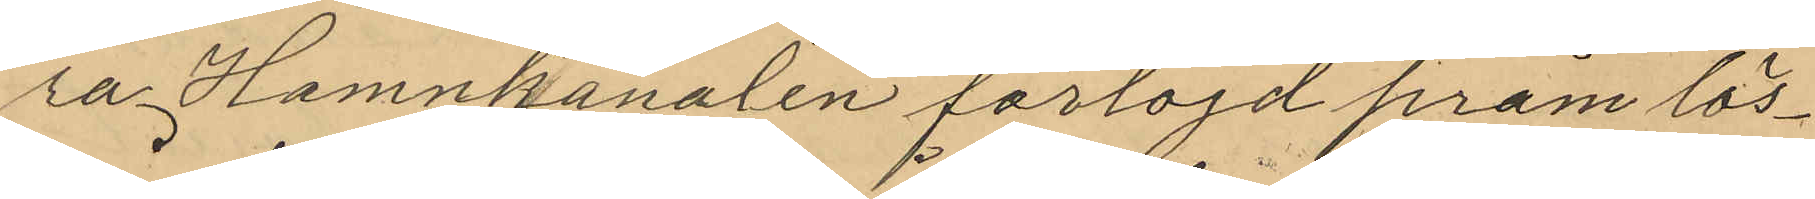ra Hamnkanalen förtöjd pråm lös¬
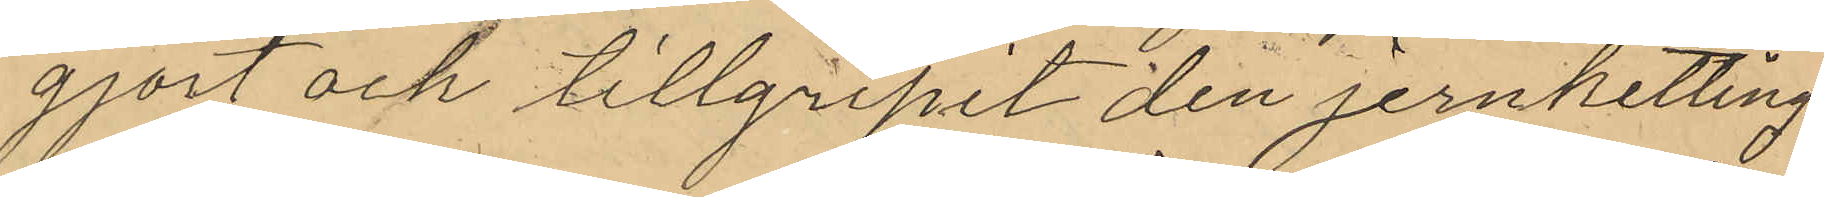gjort och tillgripit den jernketting
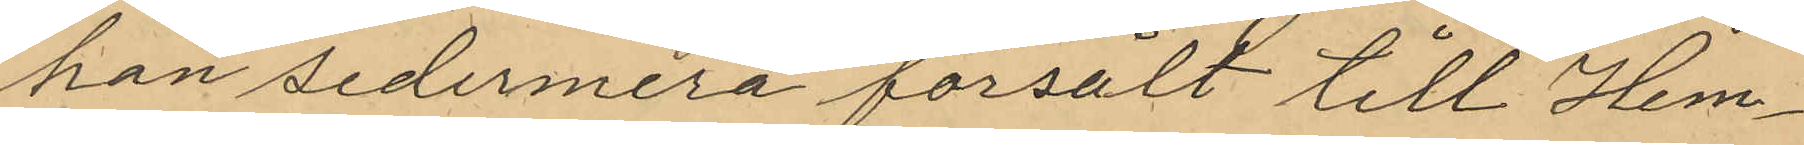han sedermera försålt till Hem¬
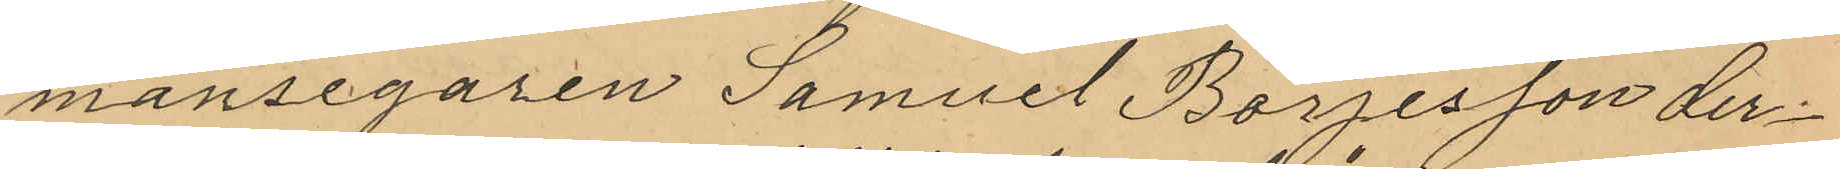mansegaren Samuel Börjesson der¬
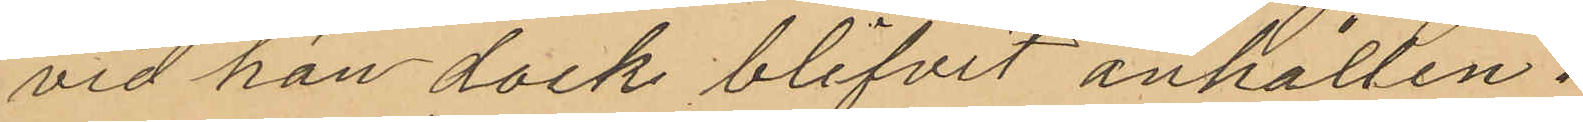vid han dock blifvit anhållen.
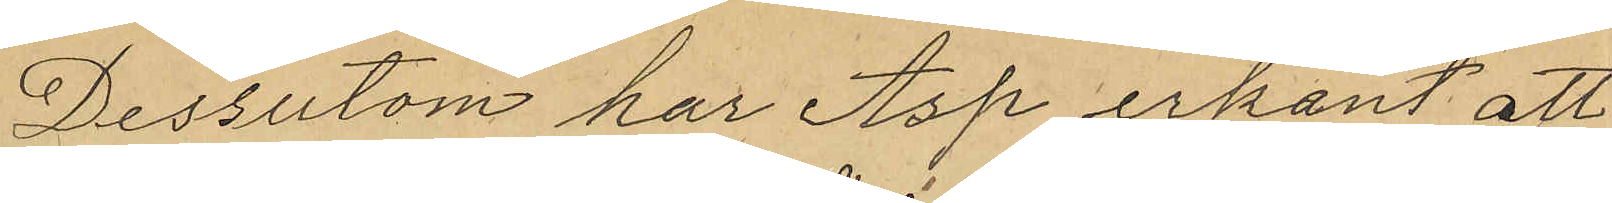Dessutom har Asp erkant att
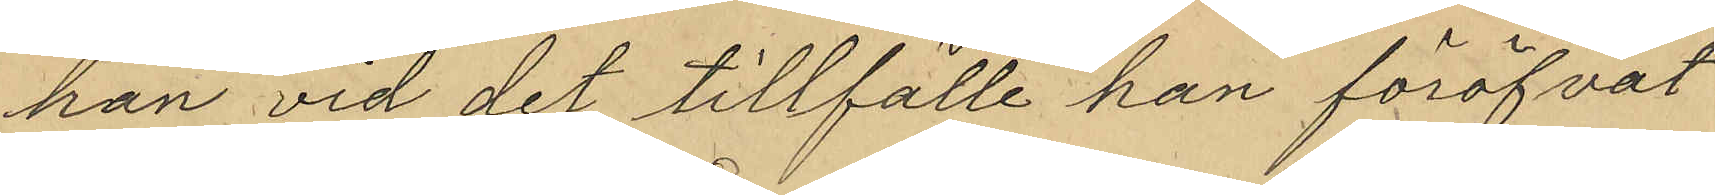han vid det tillfälle han föröfvat
